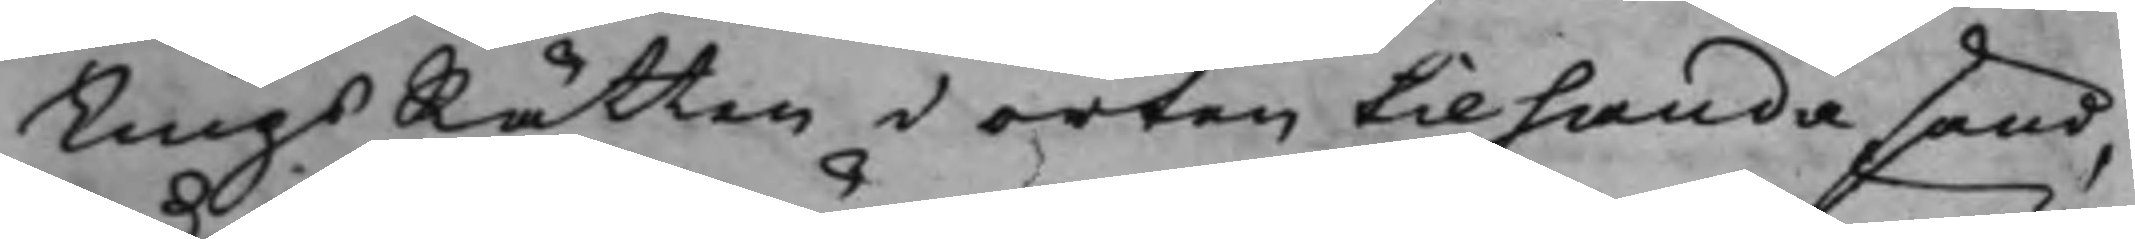TingsRätten i orten tilhanda sänd,
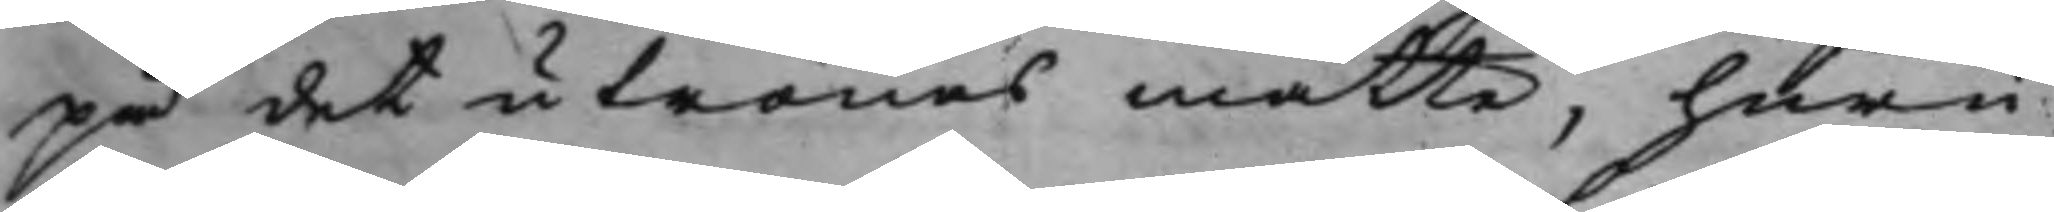på det utrönas måtte, huru¬
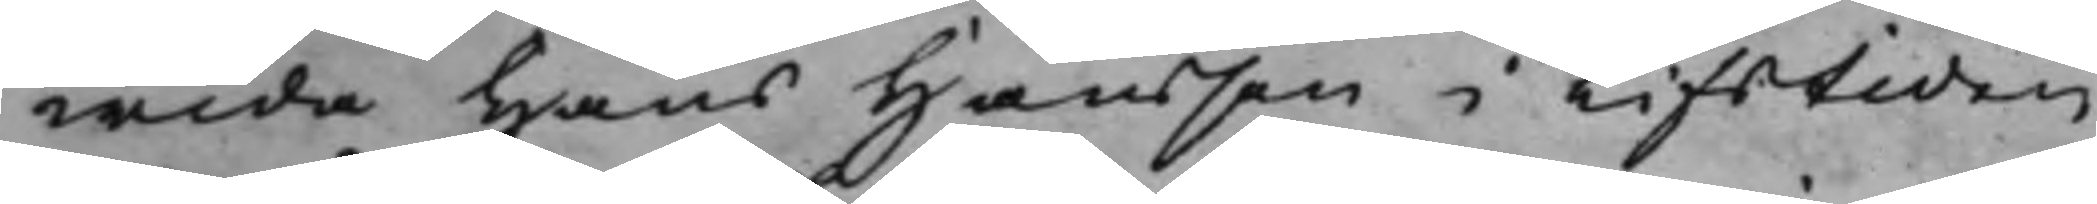wida Hans Hansson i Lifstiden
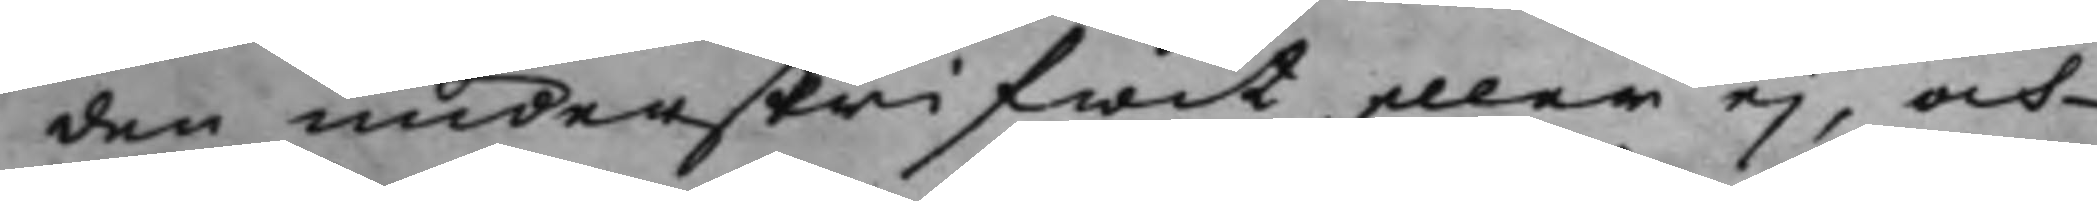den underskrifwit eller ej, och
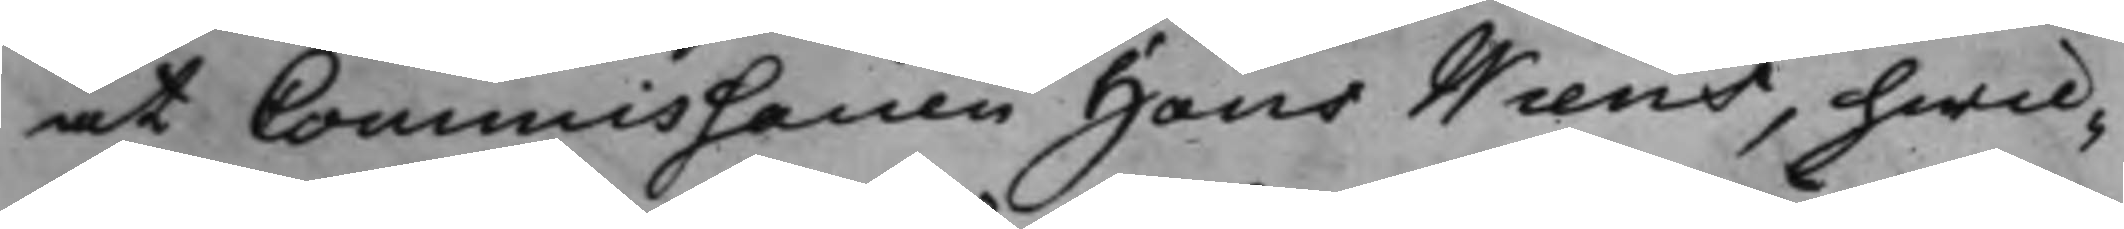at Commissarien Hans Wiens, hwil¬
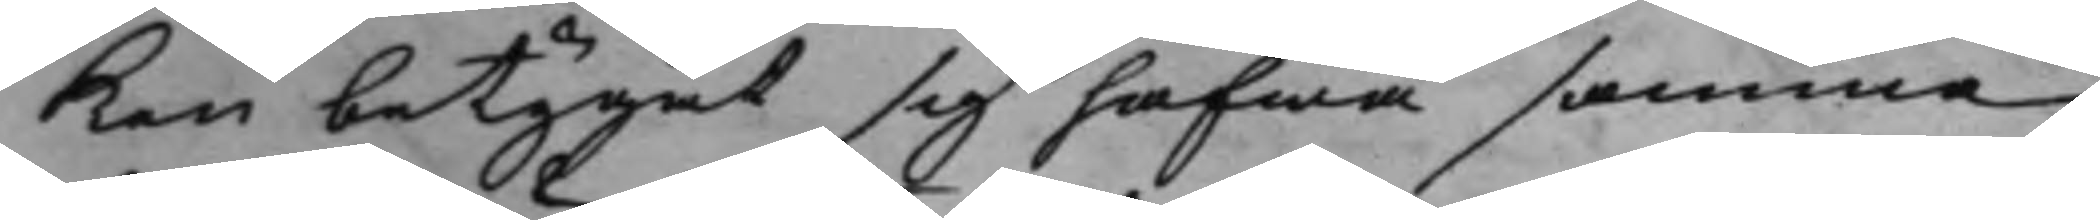ken betygat sig hafwa samma
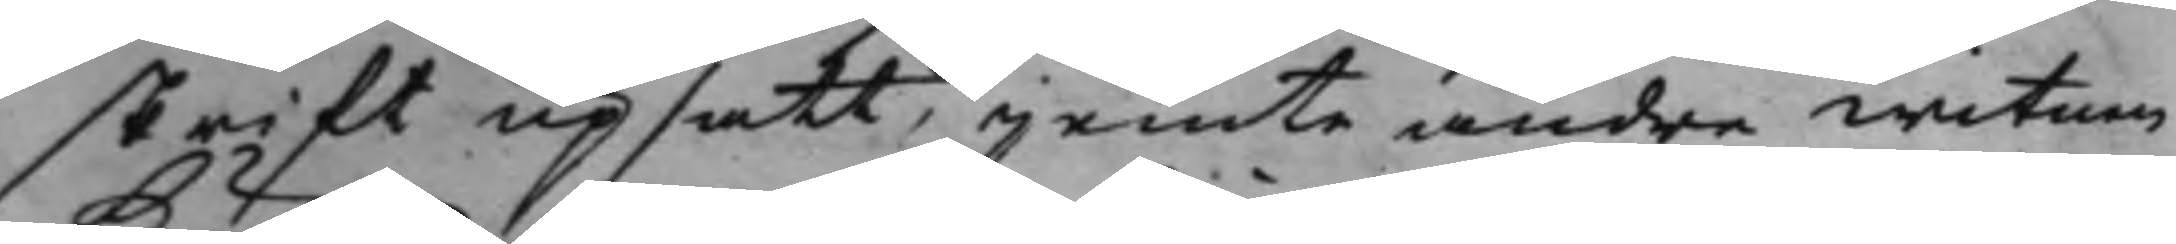skrift upsatt, jemte andra witnen
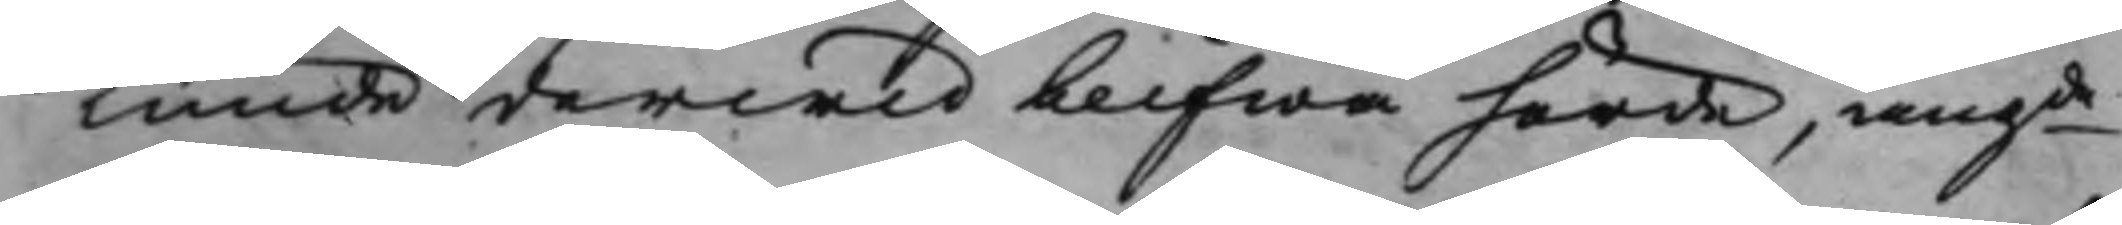kunde derwid blifwa hörde, angde 
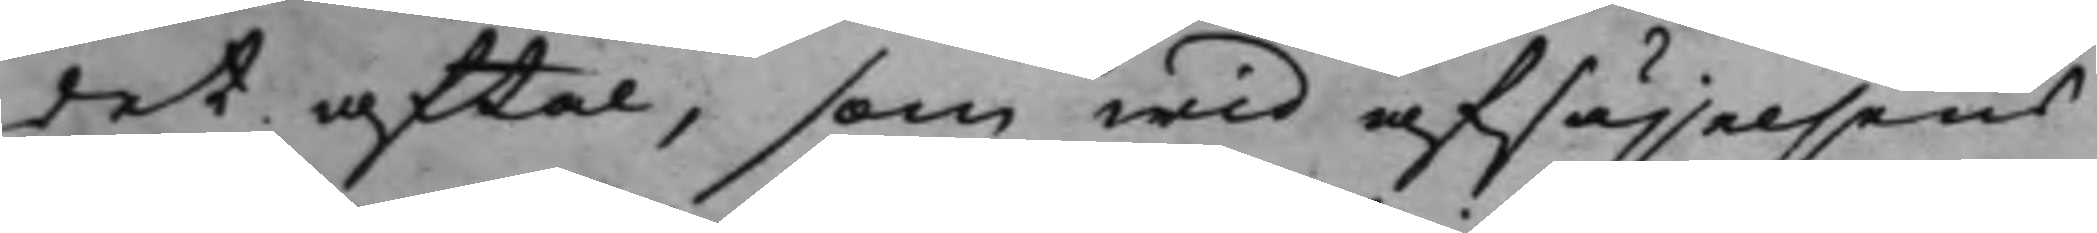det aftal, som wid afsäjelsens
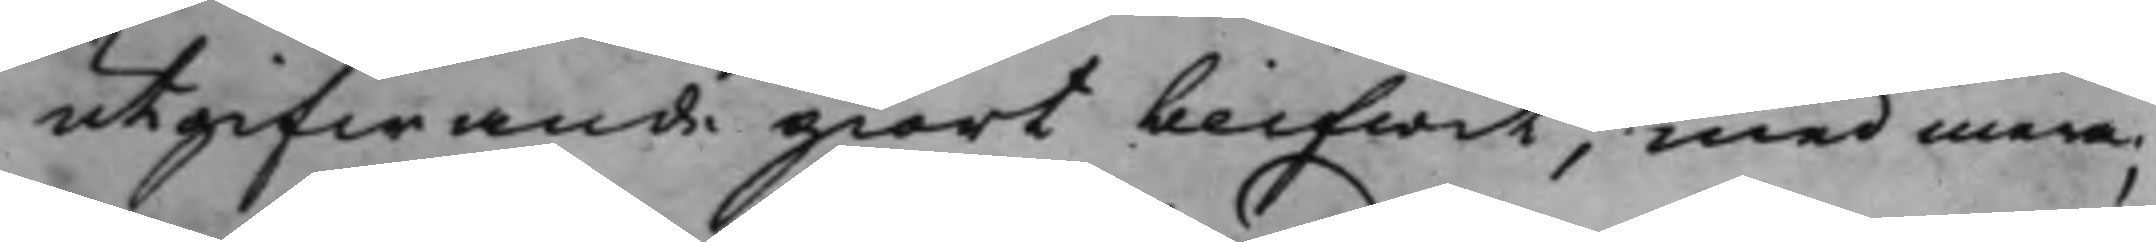utgifwande giort blifwit, med mera;
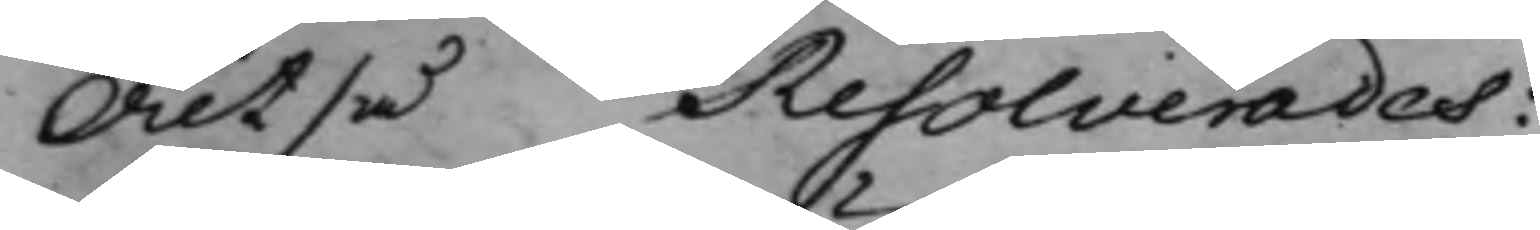Altså Resolverades:
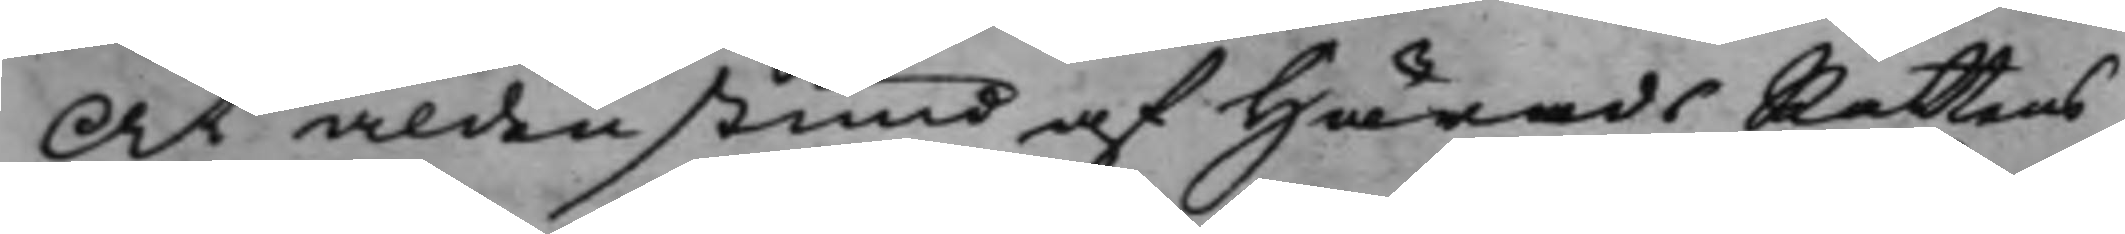At aldenstund af HäradsRättens
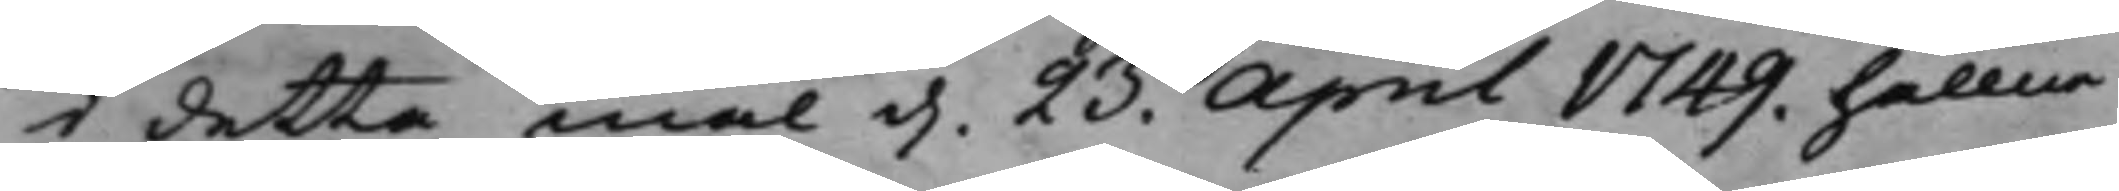i detta mål d. 23. April 1749. hållne 
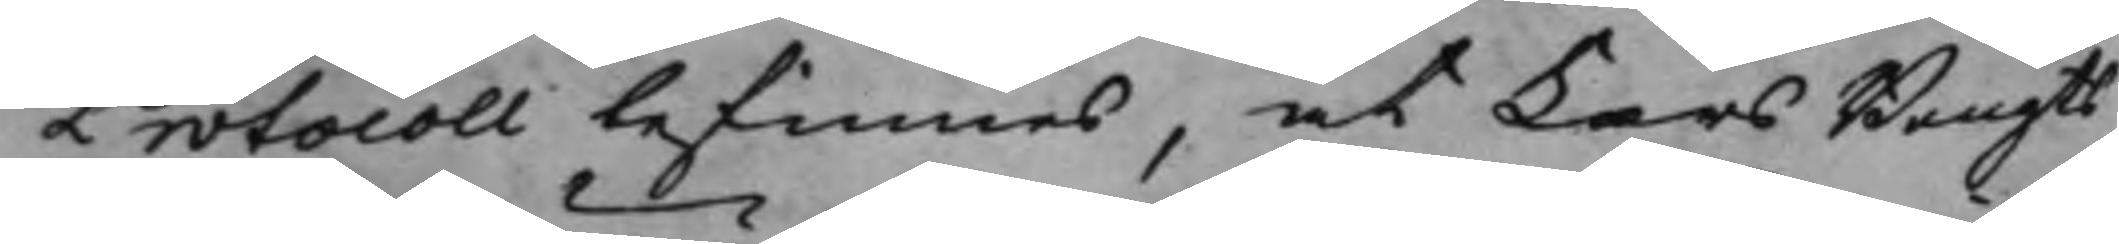Protocoll befinnes, at Lars Bengts¬ 
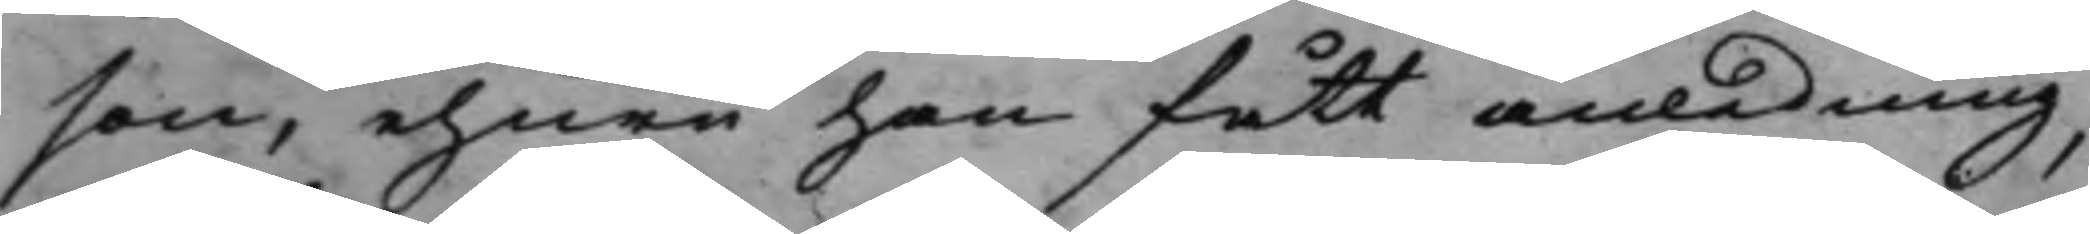son, ehuru han fått anledning,
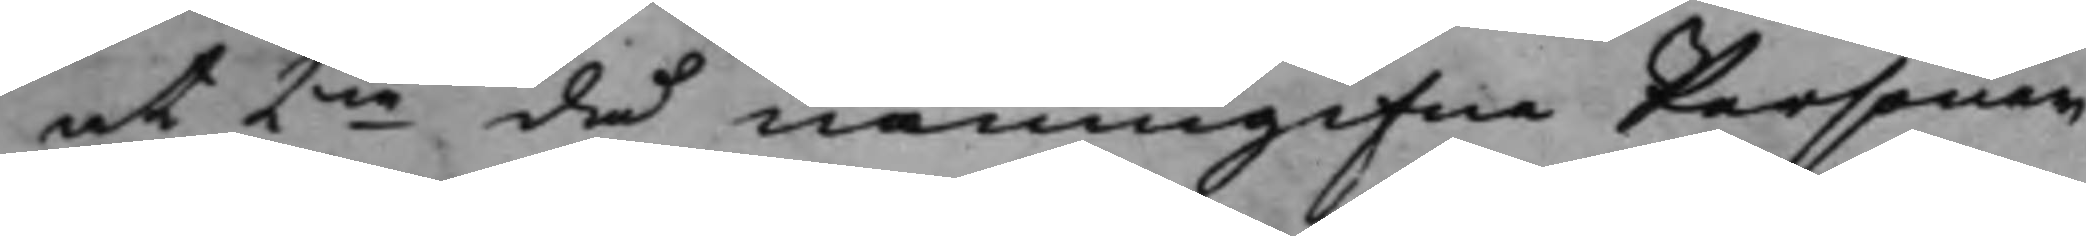at 2ne då namngifne Personer 
